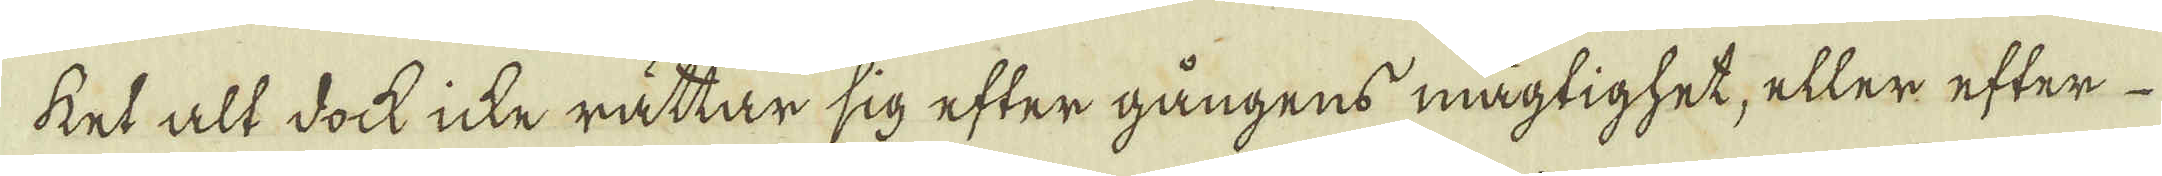ket alt dock icke rättar sig efter gångens mägtighet, eller efter
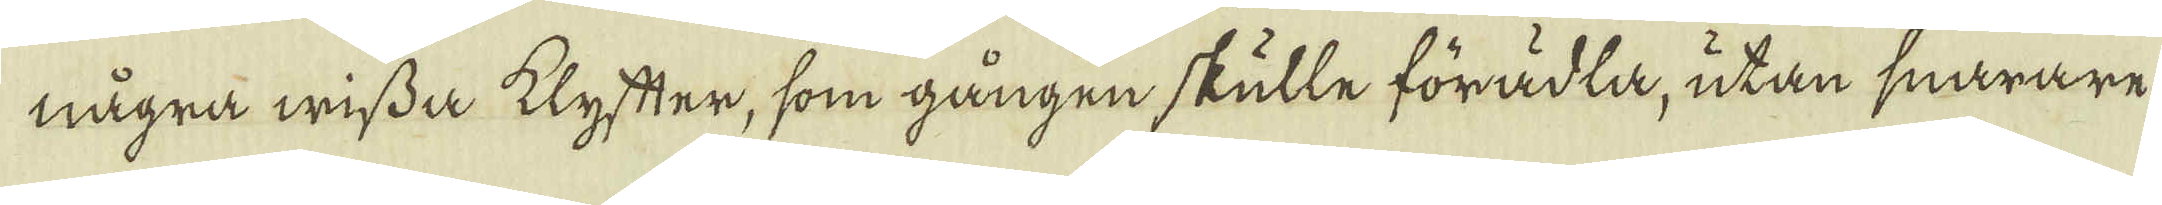några wissa klyfter, som gången skulle förädla, utan snarare
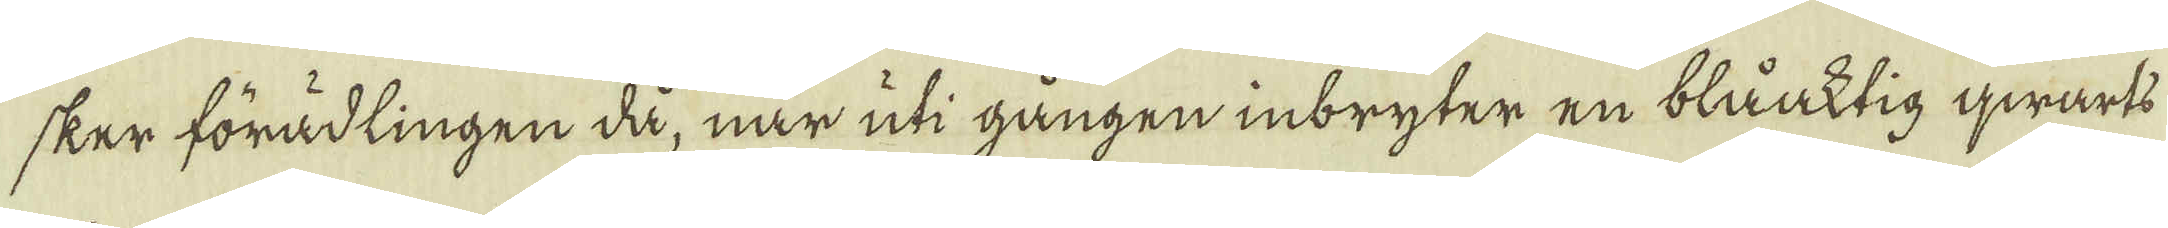sker förädlingen då, när uti gången inbryter en blåaktig qwarts
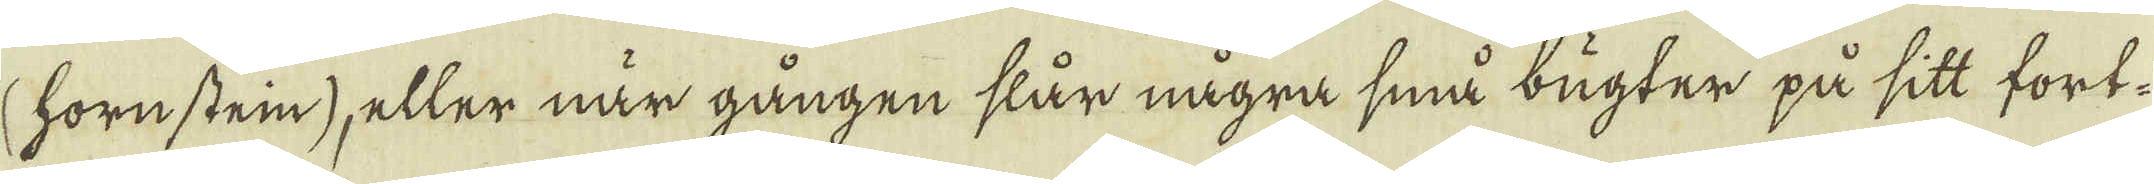(hornstein), eller när gången slår några små bugter på sitt fort-
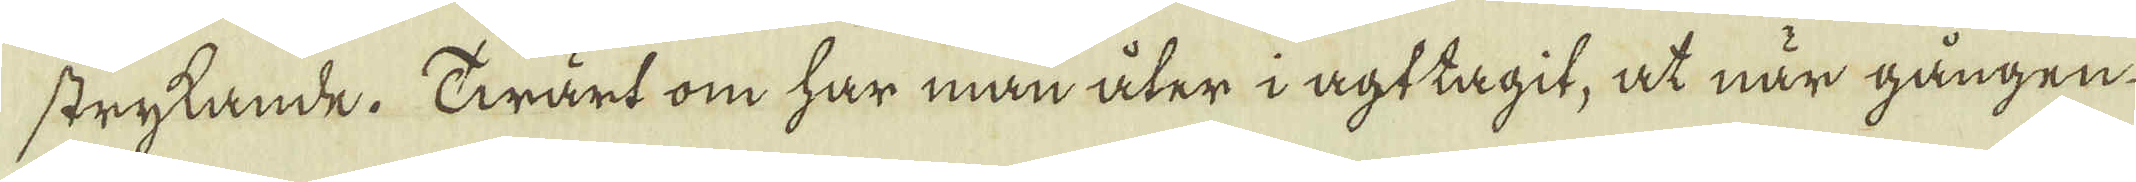strykande. Twärt om har man åter i agttagit, at när gången
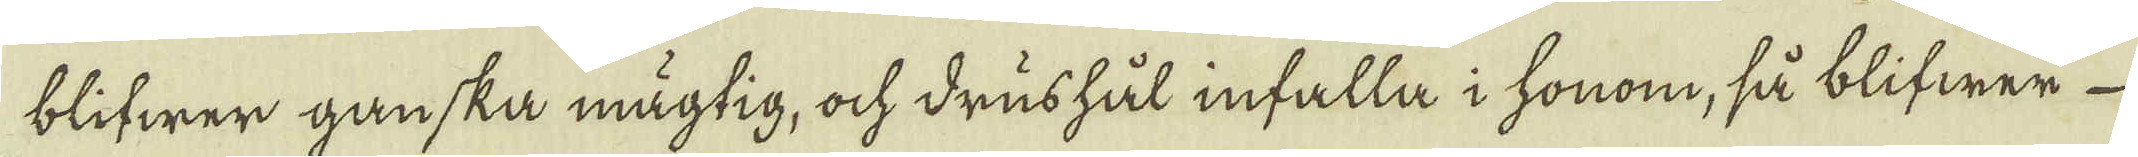blifwer ganska mägtig, ock drushål infalla i honom, så blifwer
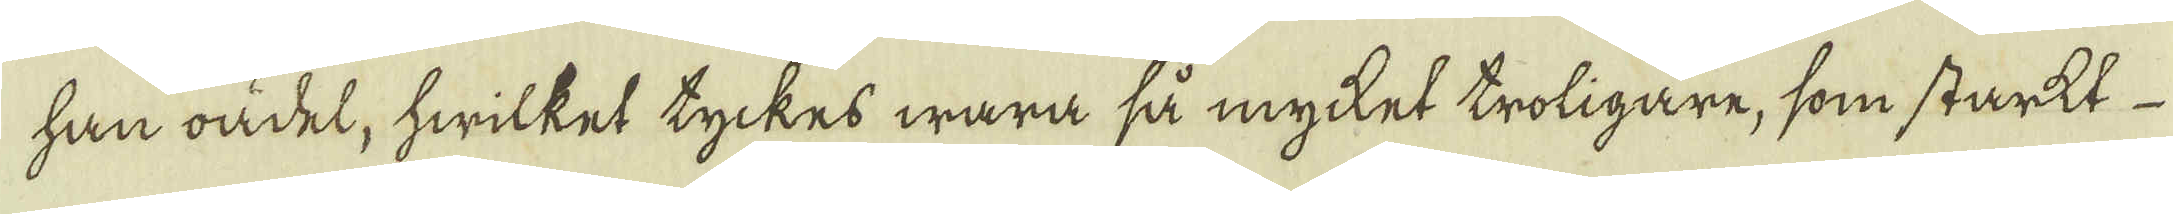han oädel, hwilket tyckes wara så mycket troligare, som starkt
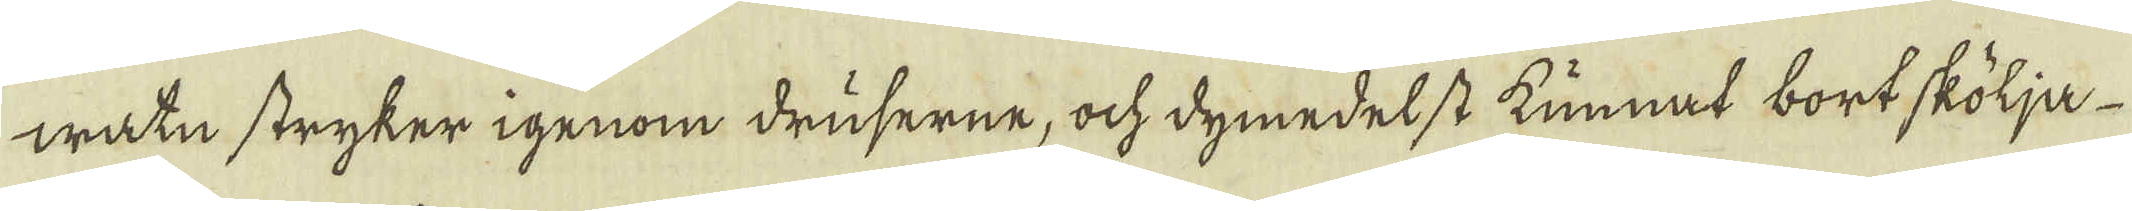watn stryker igenom druserne, ock dymedelst kunnat bortskölja
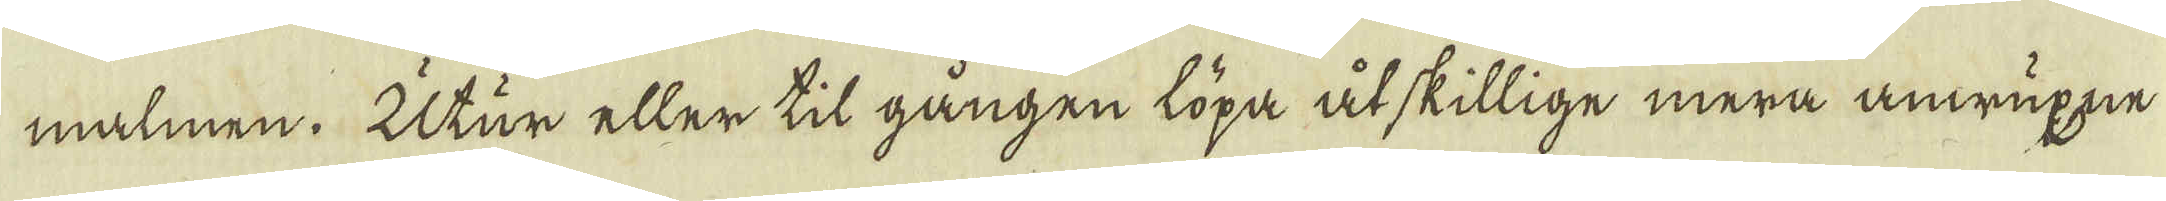malmen. Utur eller til gången löpa åtskillige mera anwuxne
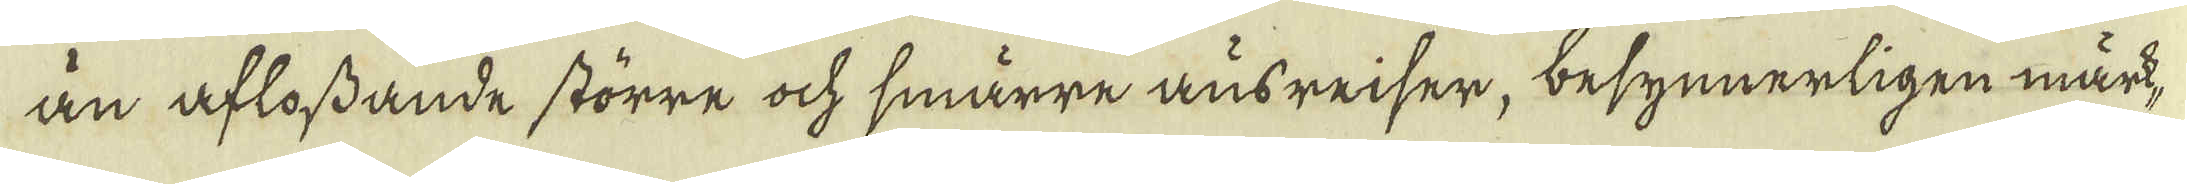än aflossande större ock smärre ausreiser, besynnerligen märk-
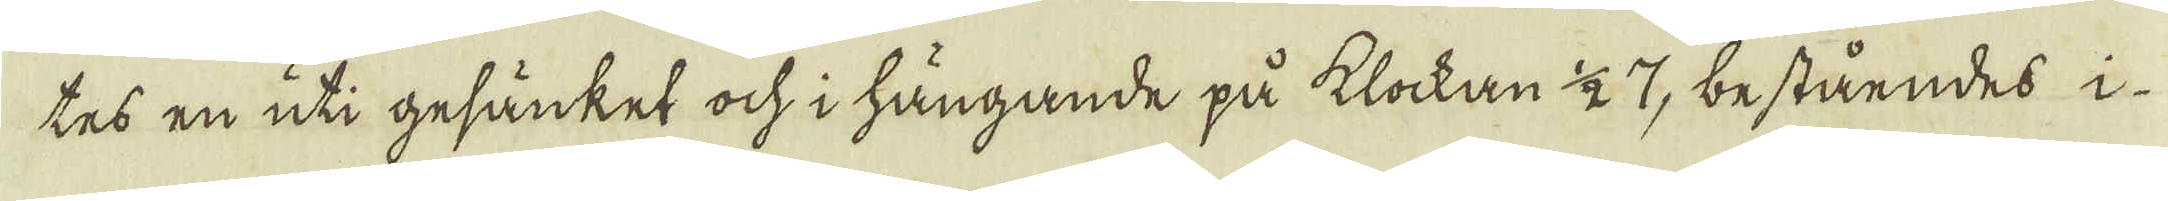tes en uti gesänket ock i hängande på klockan 1/2 7, beståendes i
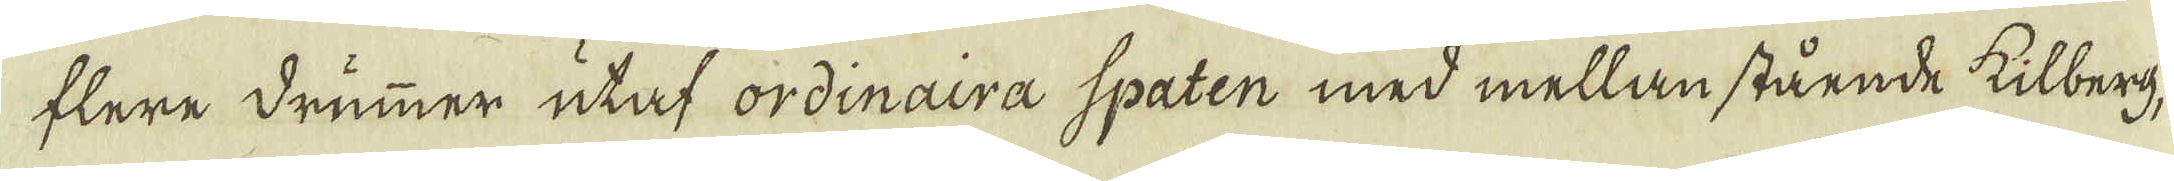flere drummer utaf ordinaira Spaten med mellan stående kilberg,
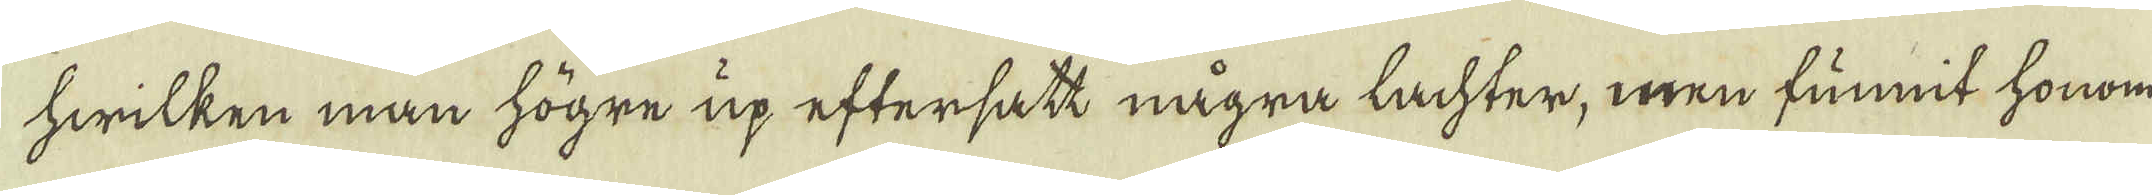hwilken man högre up eftersatt några lachter, men funnit honom
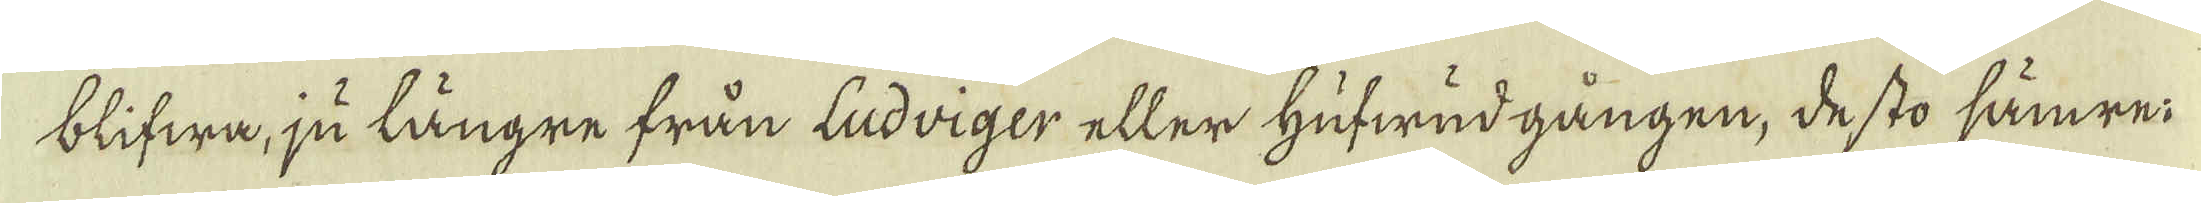blifwa, ju längre från ludriger eller hufwudgången, de sto sämre:
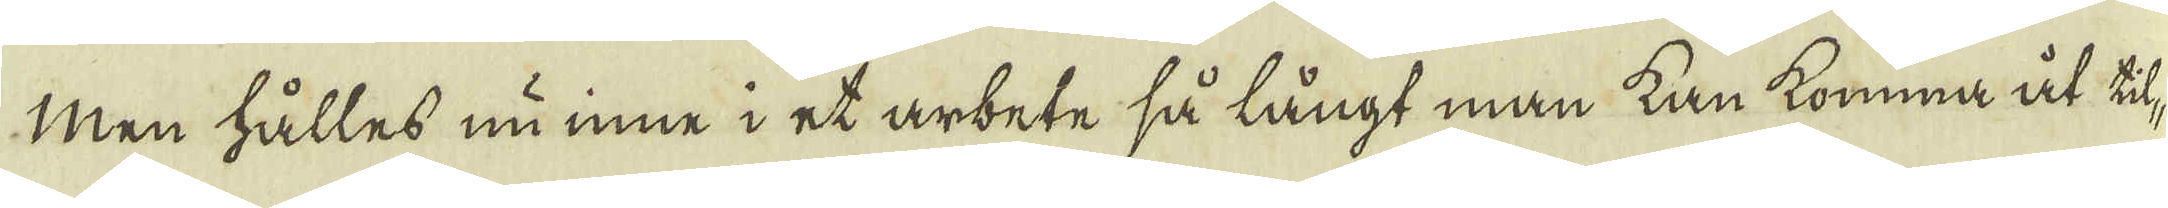Men hålles nu inne i et arbete så långt man kan komma åt til-
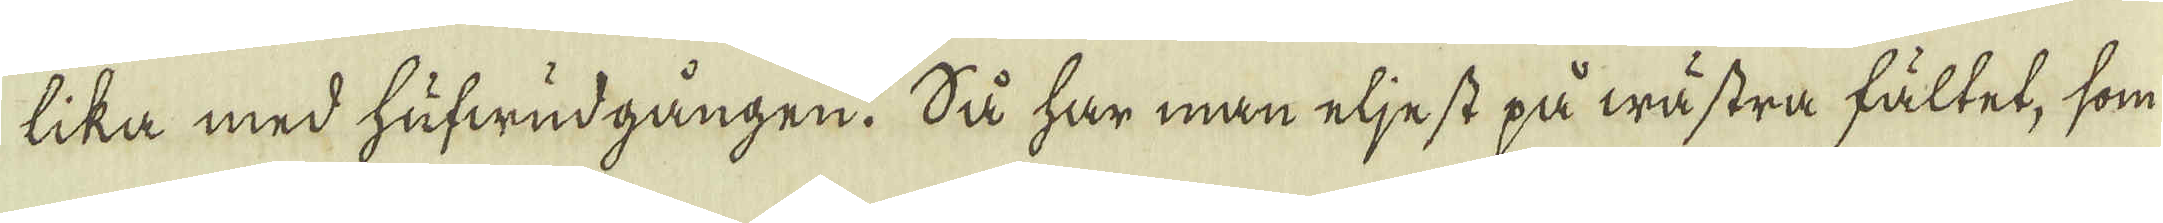lika med hufwudgången. Så har man eljest på wästra fältet, som
